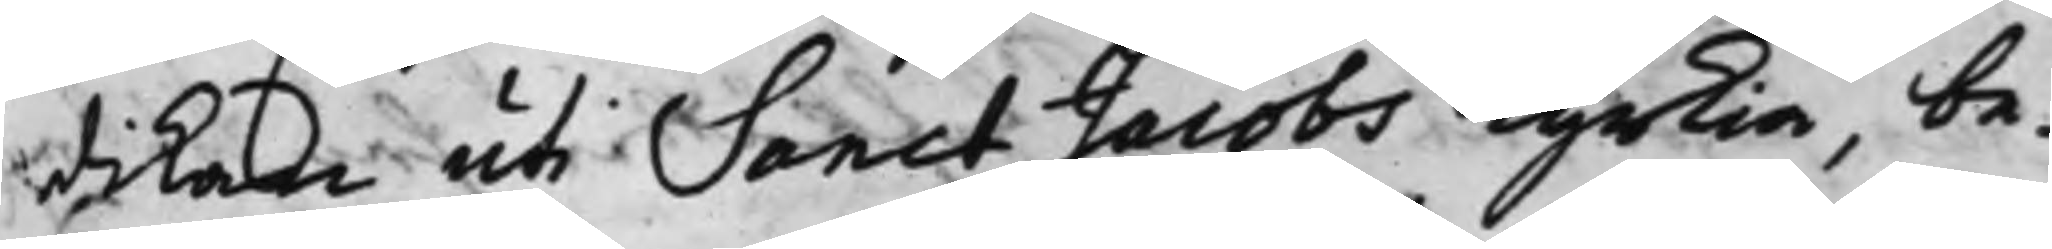dikan uti Sanct Jacobs Kyrkia, be¬
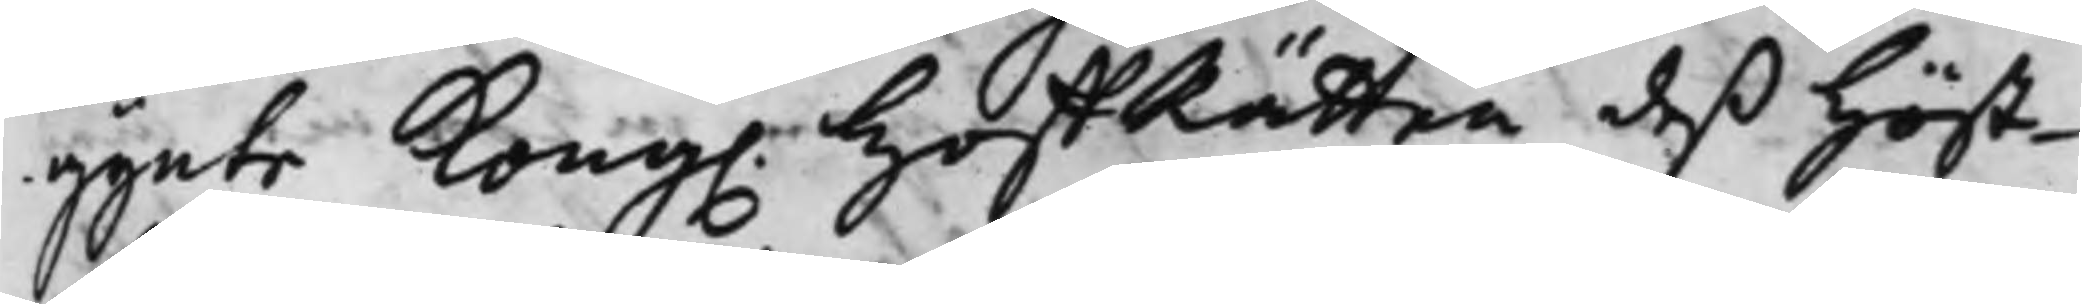gynte Kong. HoffRätten deß höst¬
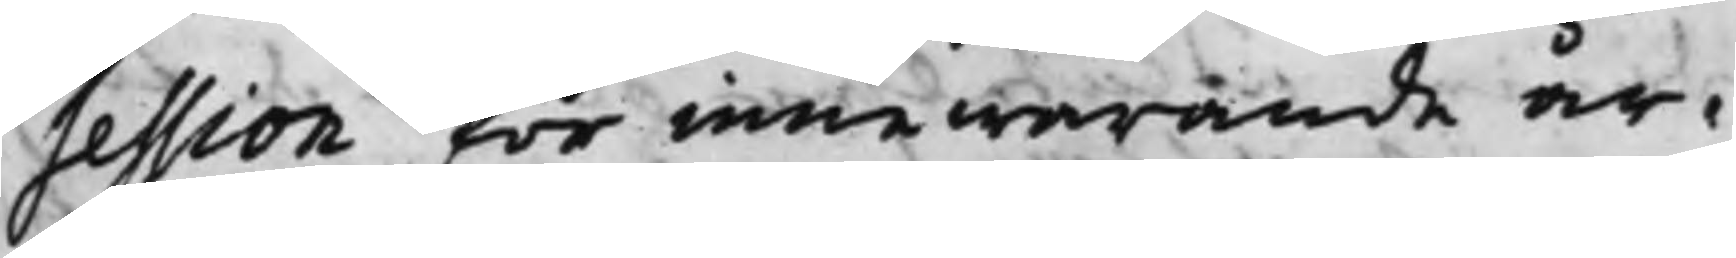session för innewarande år,
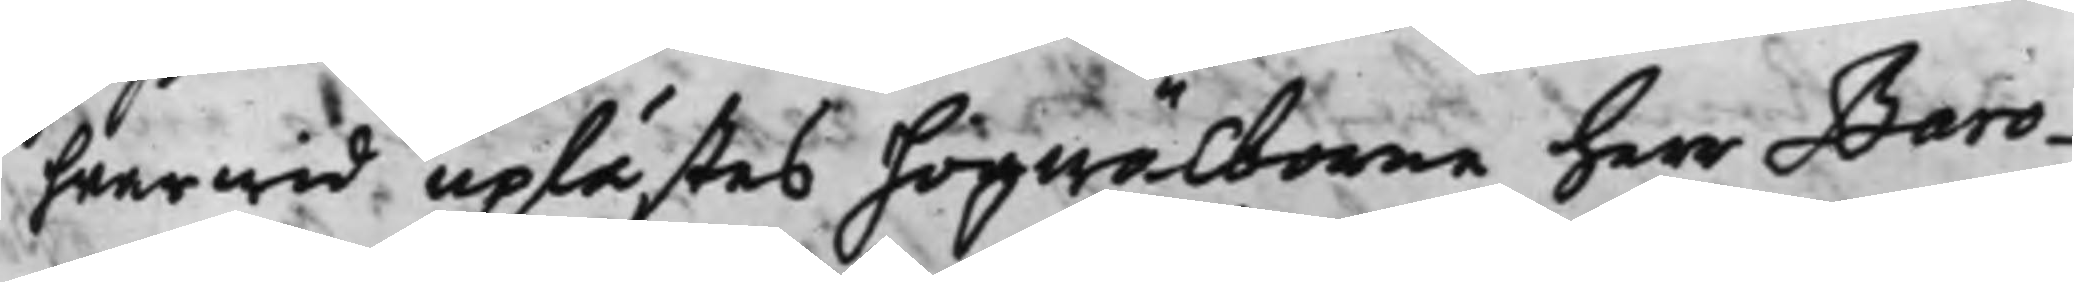hwarwid uplästes högwälborne Herr Baro¬
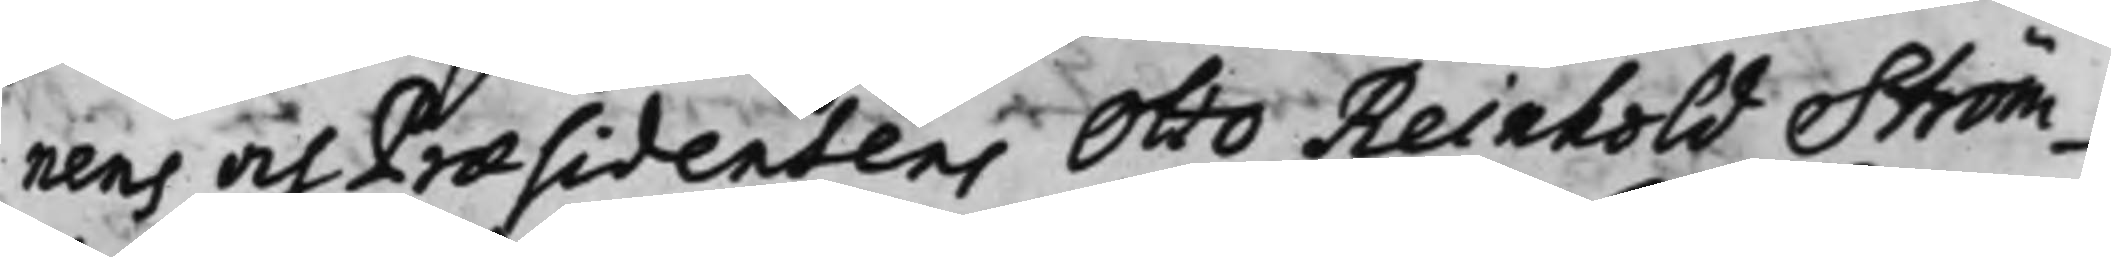nens och Præsidentens Otto Reinhold Ström¬
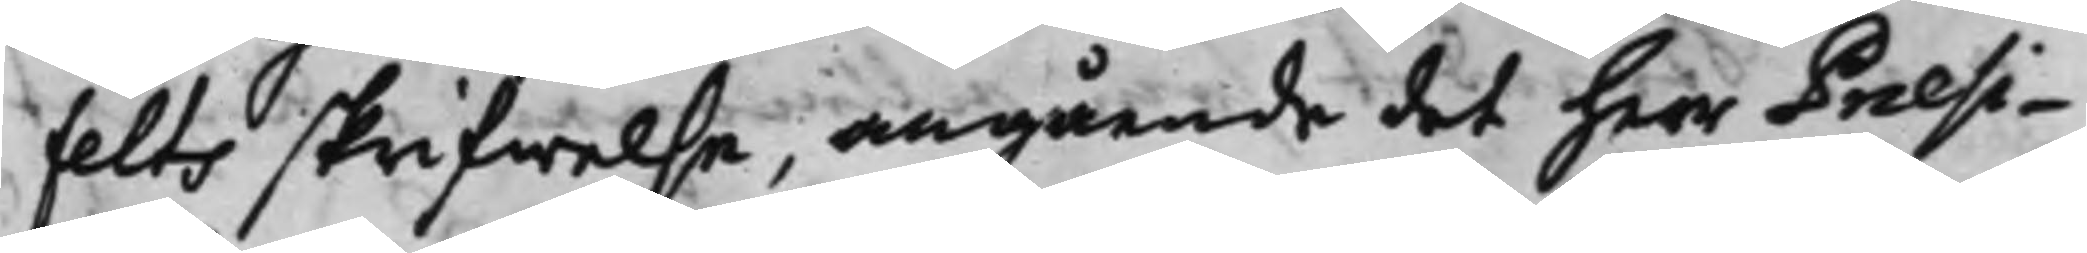felts skrifwelse, angående det Herr Præsi¬
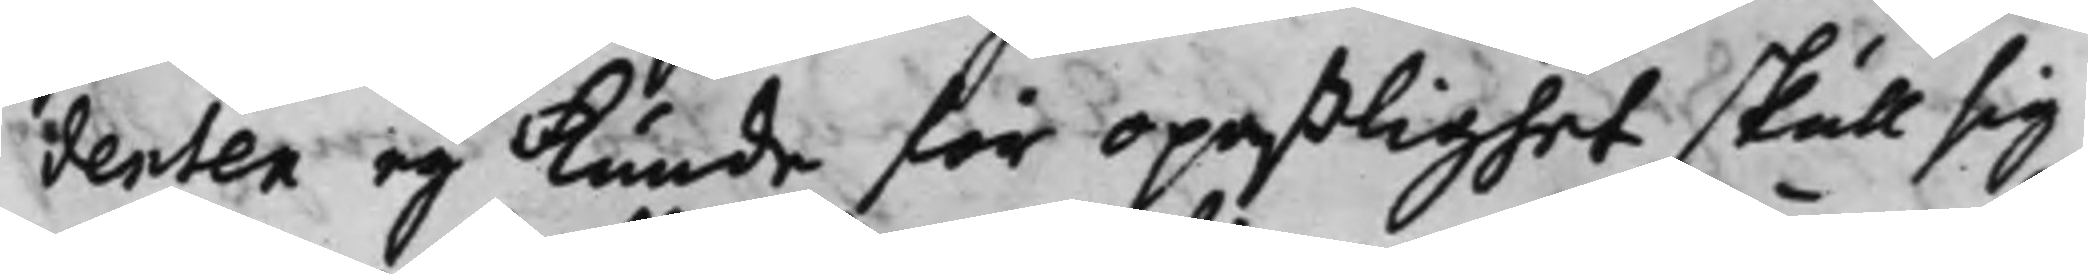denten eij kunde för opaßlighet skull sig
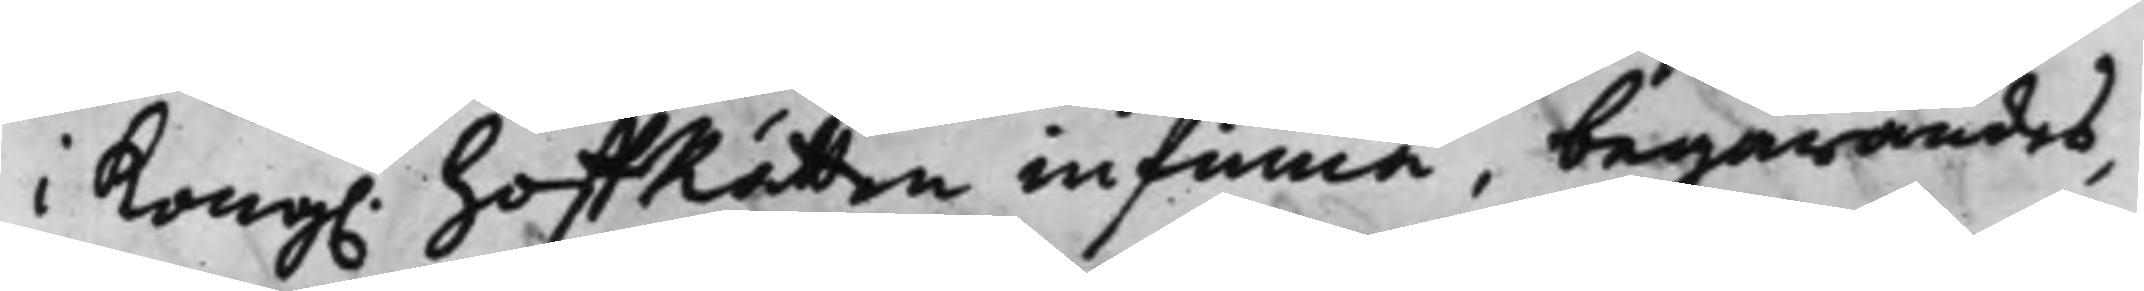i Kong. HoffRätten infinna, begärandes,
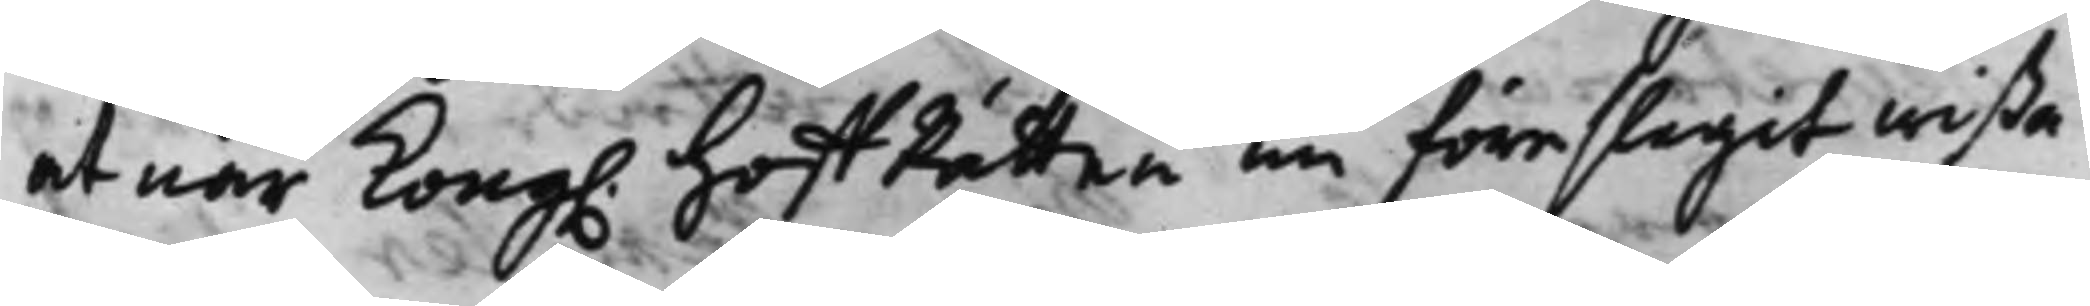at när Kong. HoffRätten nu föreslagit wißa
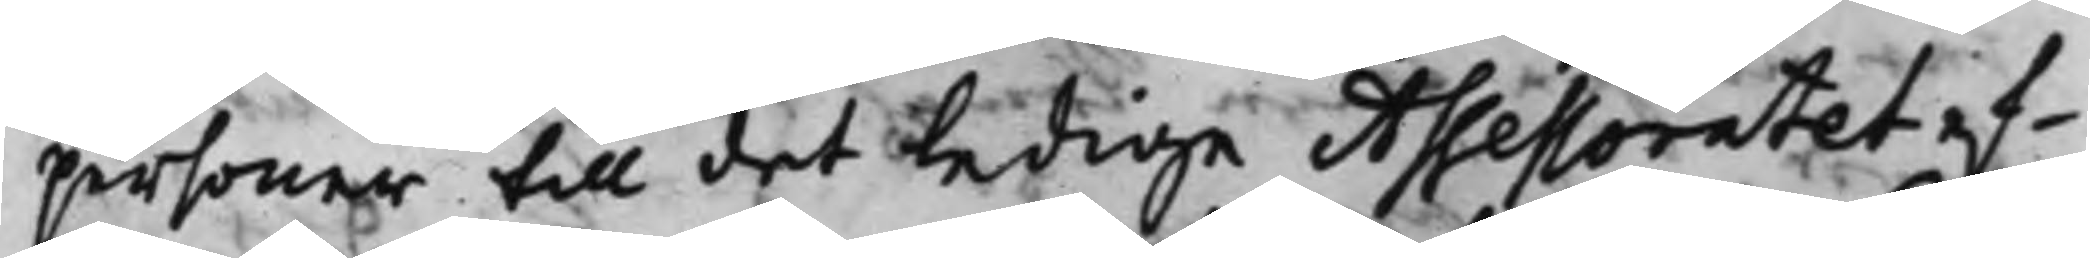personer till det ledige Assessoratet ef¬
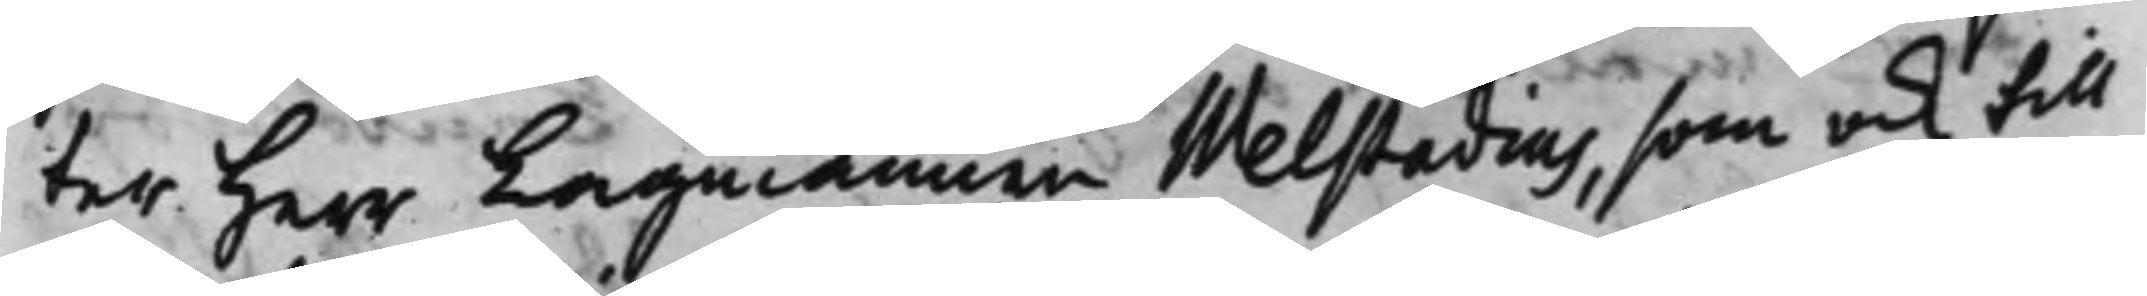ter Herr Lagmannen Welstadius, som ock till
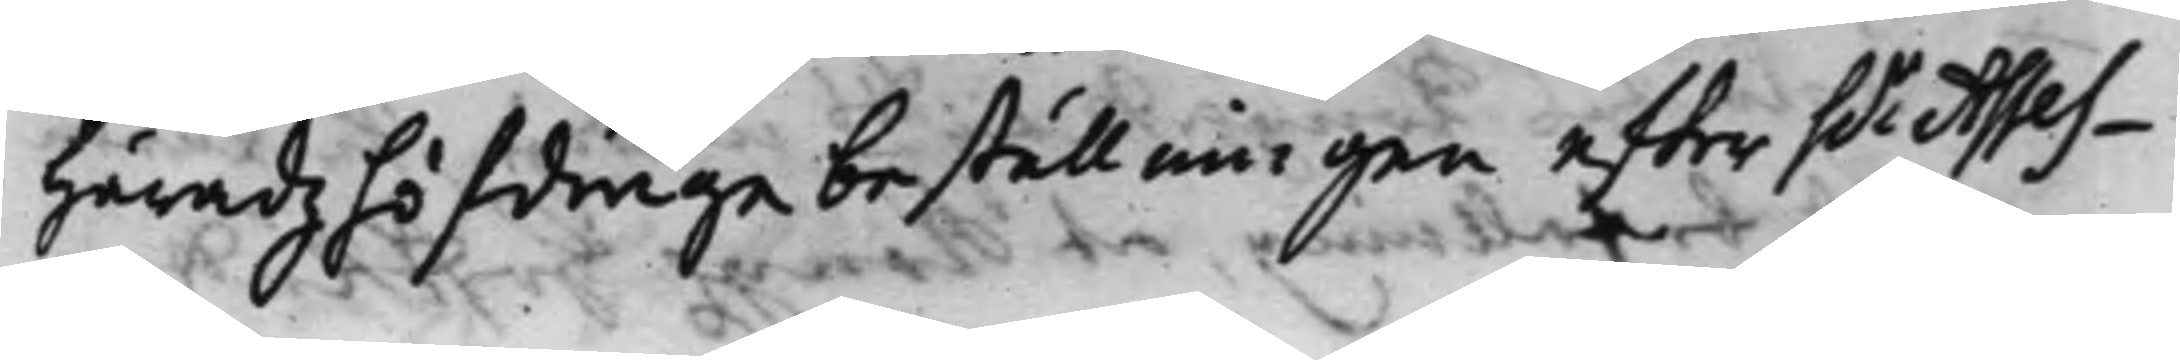häradzhöfdinge beställningen effter h.r Asses¬
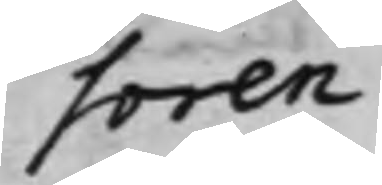soren
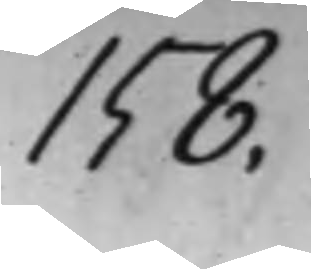158.
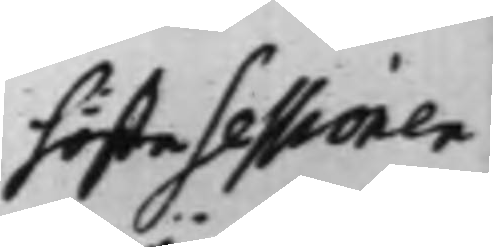höste sessionen
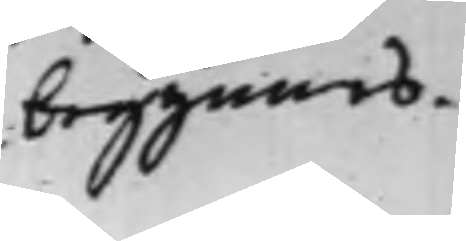begynnes.
